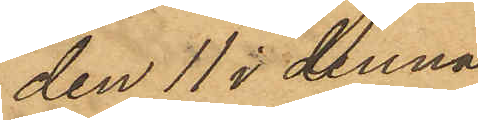den 11 i denna
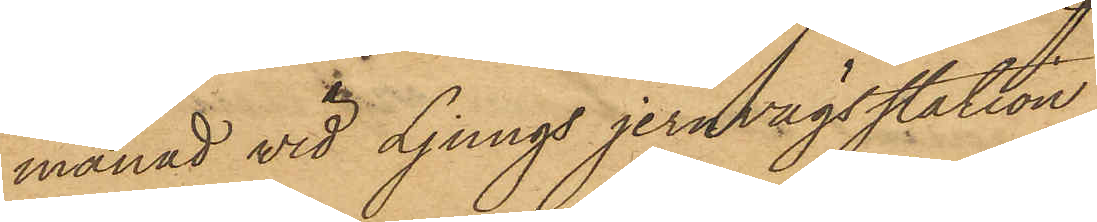månad vid Ljungs jernvägsstation
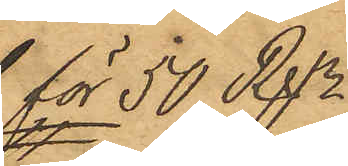för 50 Rdr
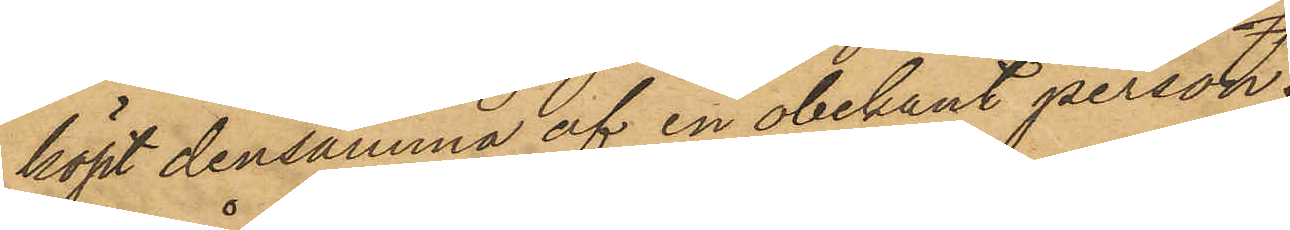köpt densamma af en obekant person.
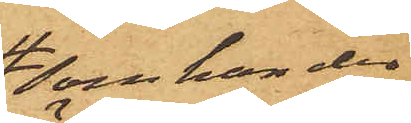som han der
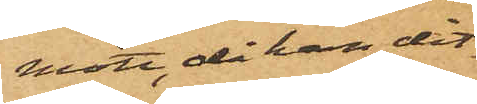mött, då han dit¬
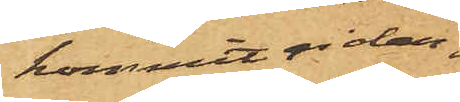kommit ridan¬
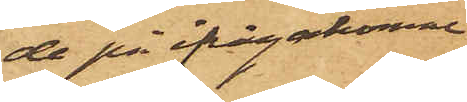de på ifrågakomne
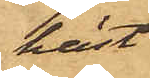häst;
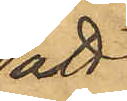att
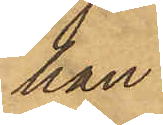han
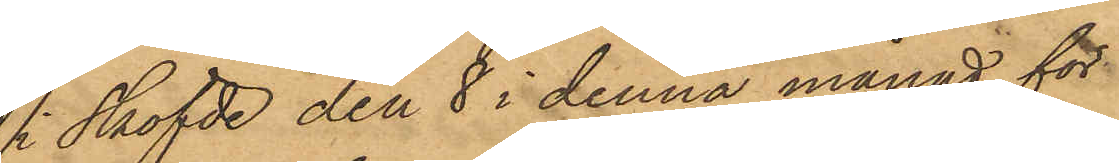i Sköfde den 8 i denna månad för
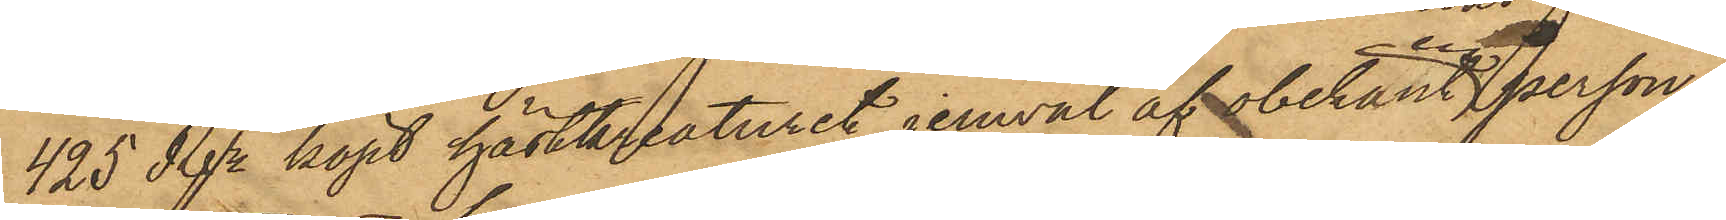425 Rdr köpt hästkreaturet jemväl af obekant en person.
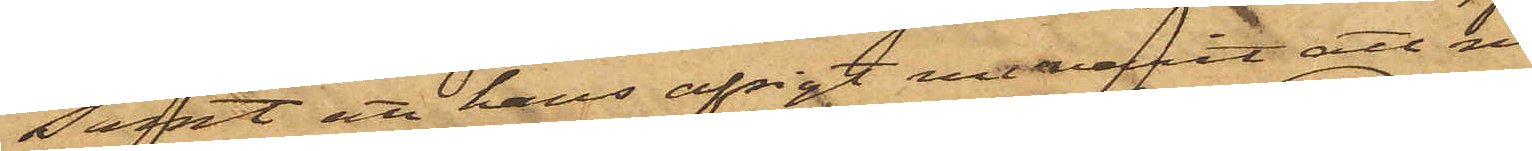samt att hans avsigt varit att med
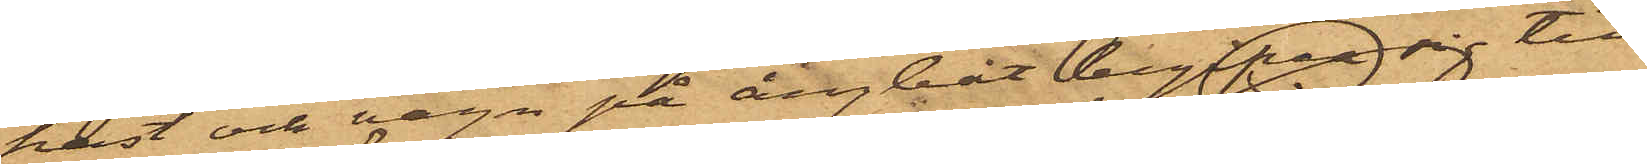häst och vagn på ångbåt begifva sig till
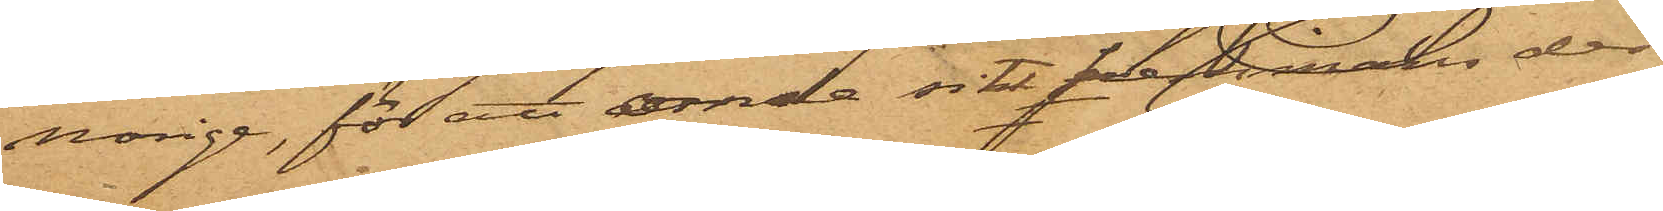Norige, för att enda sitt förhållande der.
